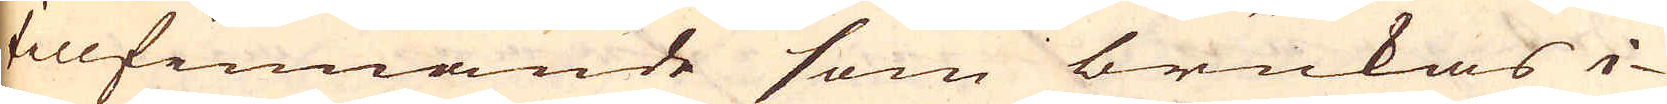tillfinnande som brukas i-
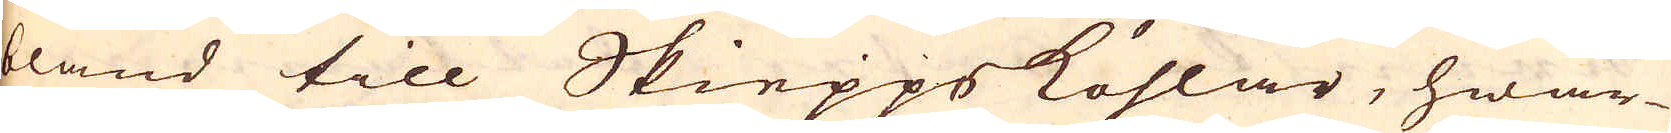bland till Skieppsköhlar, hwar-
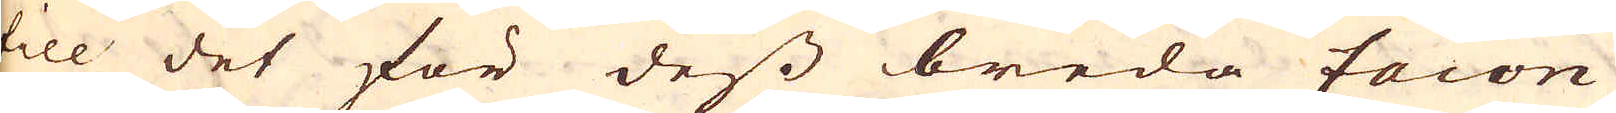till det för dess breda facon
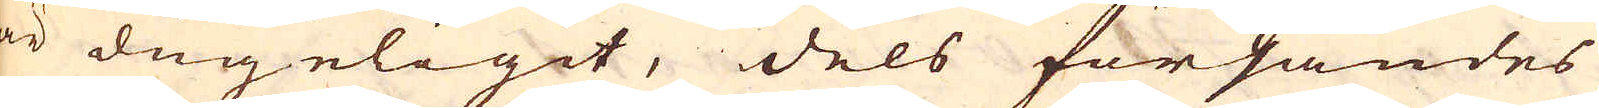är dugeligit, dels försändes
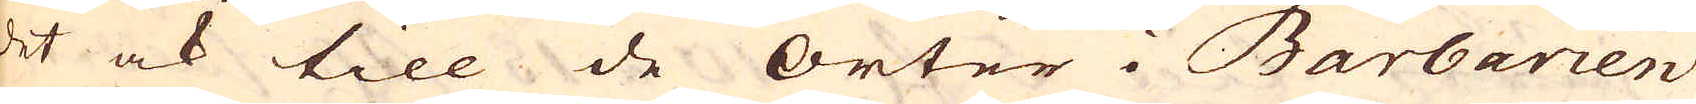det ock till de Orter i Barbarien
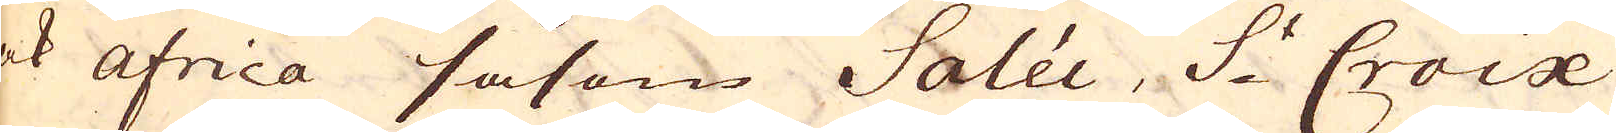ock Africa såsom Salée, S:t Croix
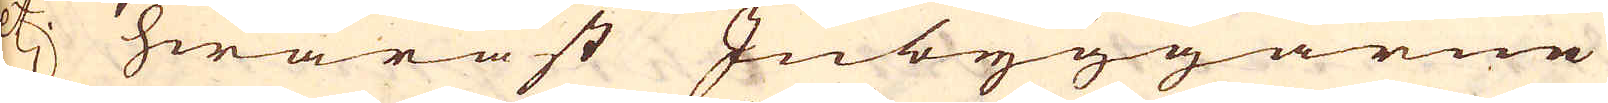etc. hwaräst Inbyggarne
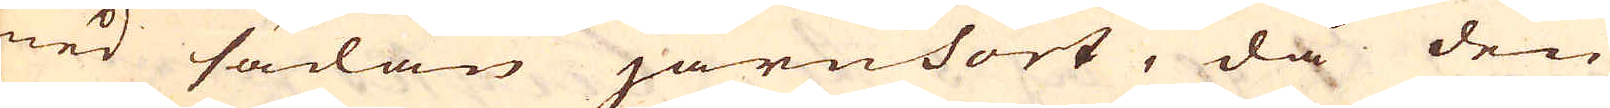med sådan järnsort, då den
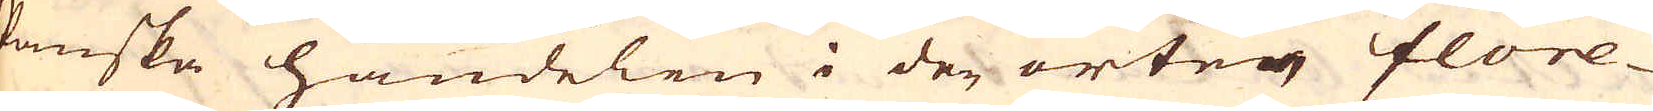Spanska handelen i der orten flore-
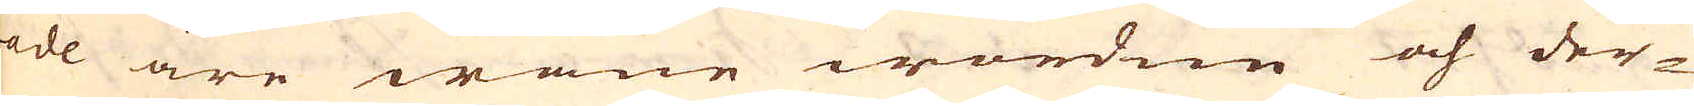rade äre wane wordne och der-
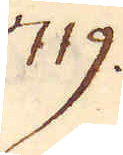719.
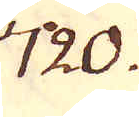720.
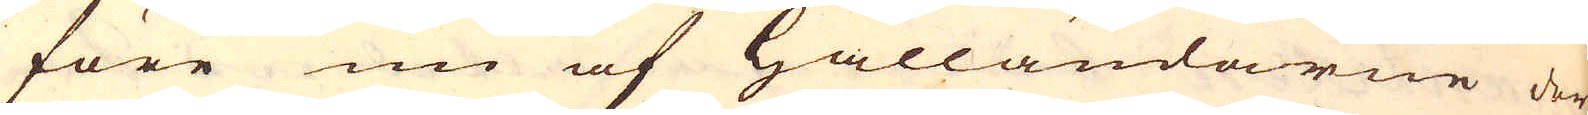före nu af Hålländarne der-
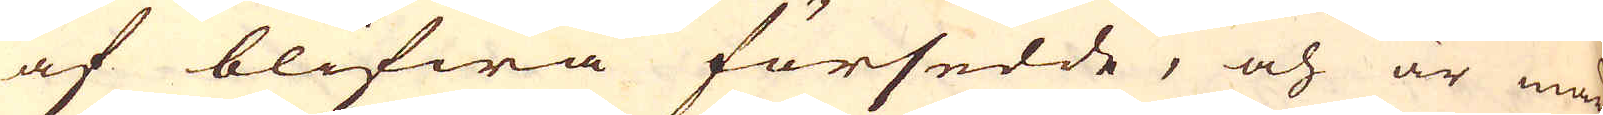af blifwa försedde, och är mär-
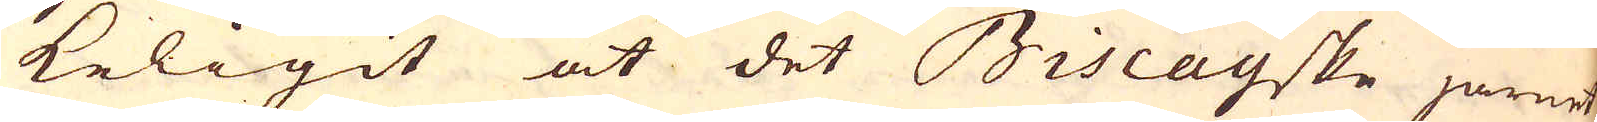keligit at det Biscayske järnet
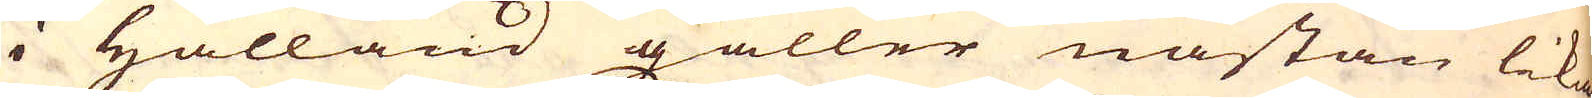i Hålland gäller nästan lika
